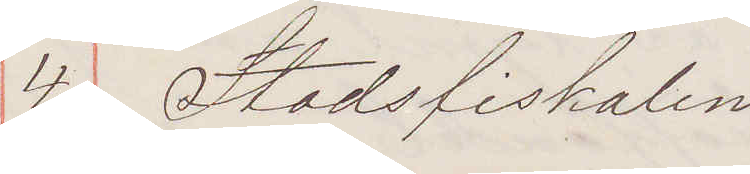4. Stadsfiskalen
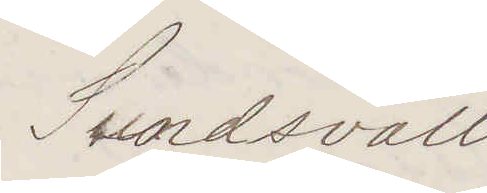Sundsvall:
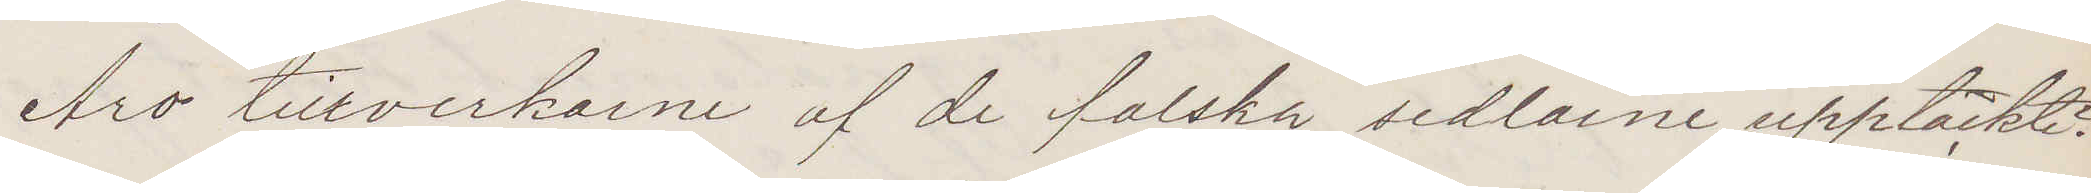Äro tillverkarne af de falska sedlarne upptäckte?
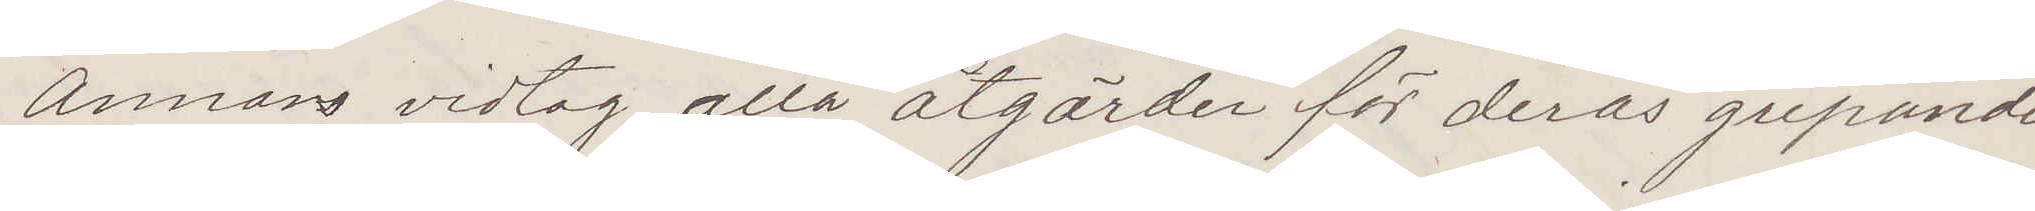Annars vidtag alla åtgärder för deras gripande.
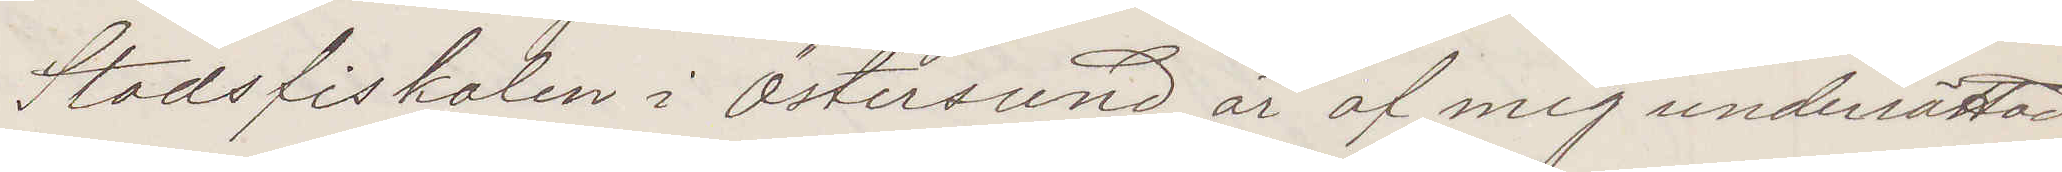Stadsfiskalen i Östersund är af mig underrättad
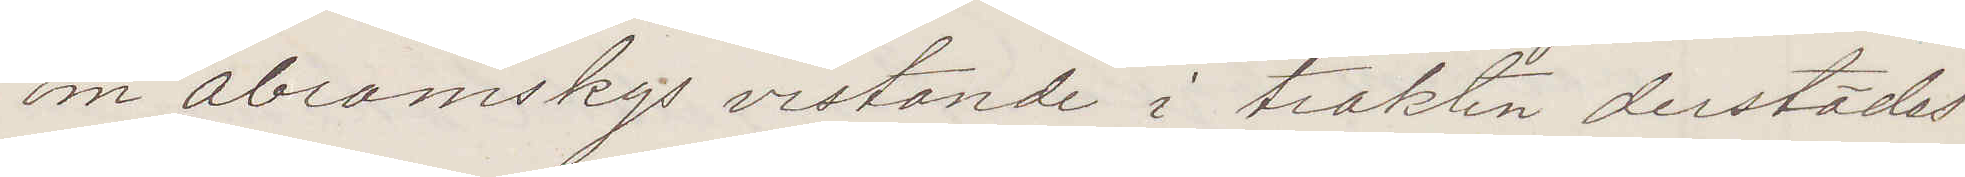om Abramskys vistande i trakten derstädes
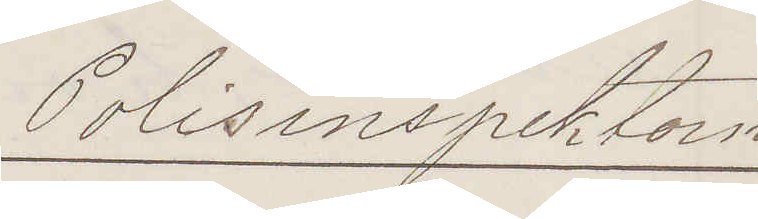Polisinspektorn
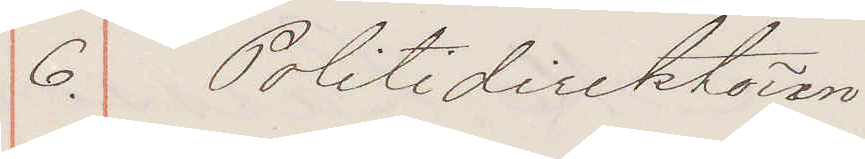6. Politidirektören:
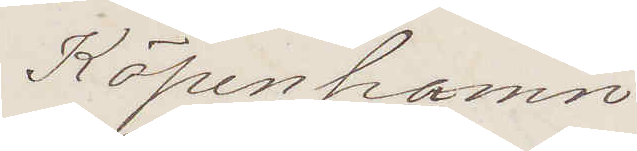Köpenhamn
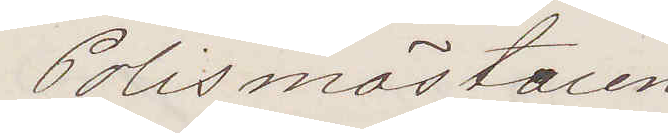Polismästaen
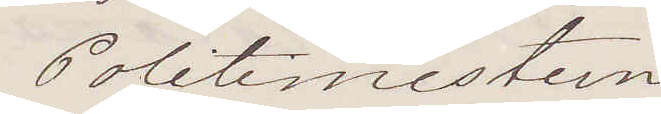Politimesteren
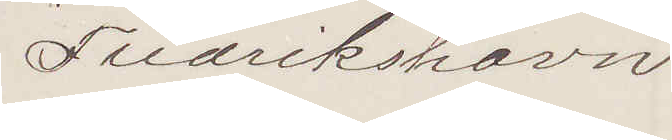Fredrikshavn
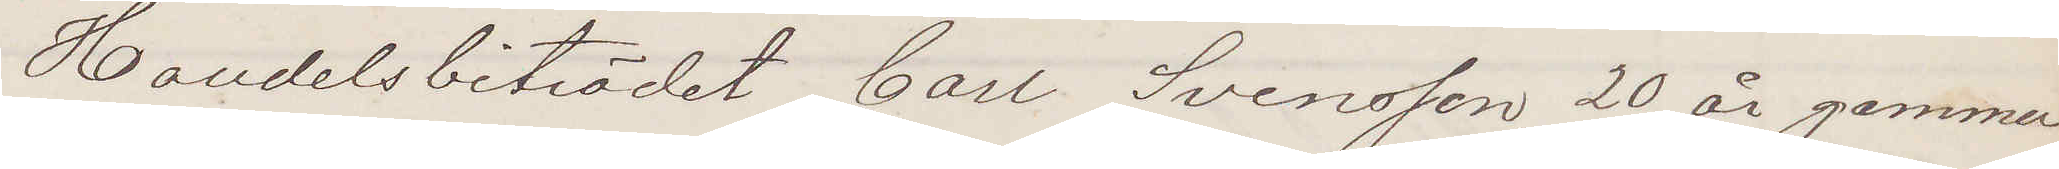Handelsbiträdet Carl Svensson, 20 år gammal
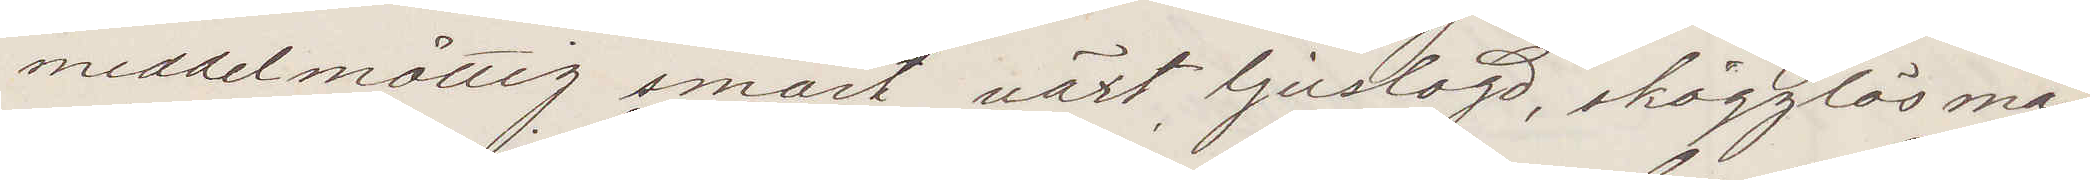middelmåttig smärt växt ljuslagd, skägglös ma¬
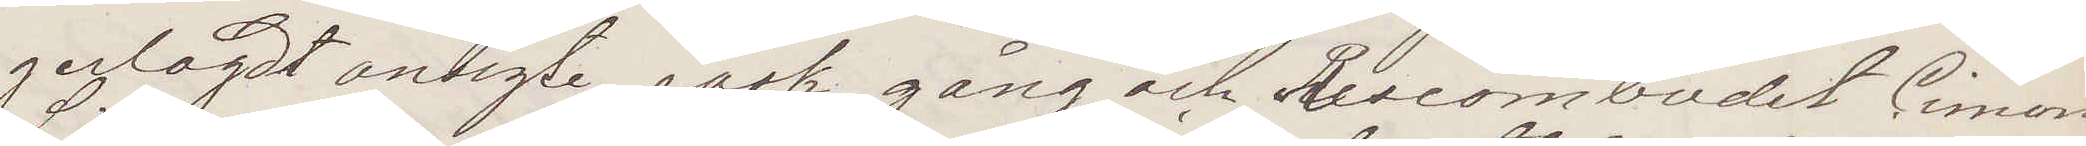gerlagdt ansigte, rask gång och  Reseombudet Cimon
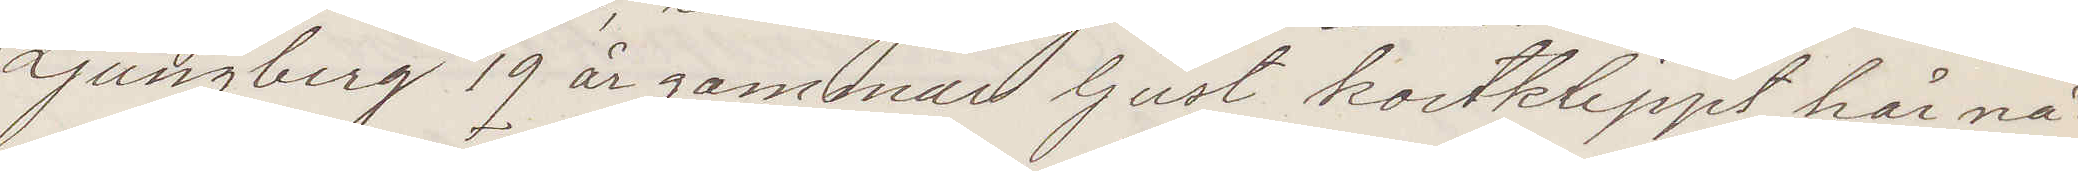Ljungberg 19 år gammal ljust kortklippt hår, nå¬
